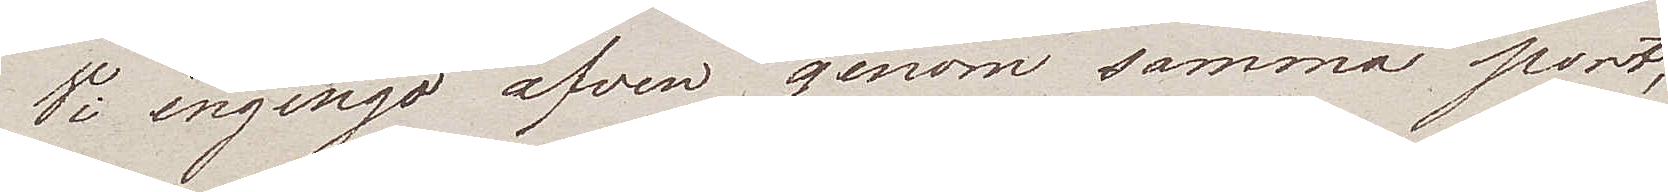Vi ingingo äfven genom samma port,
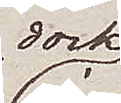dock
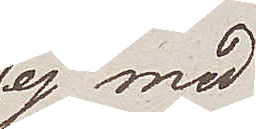ej med
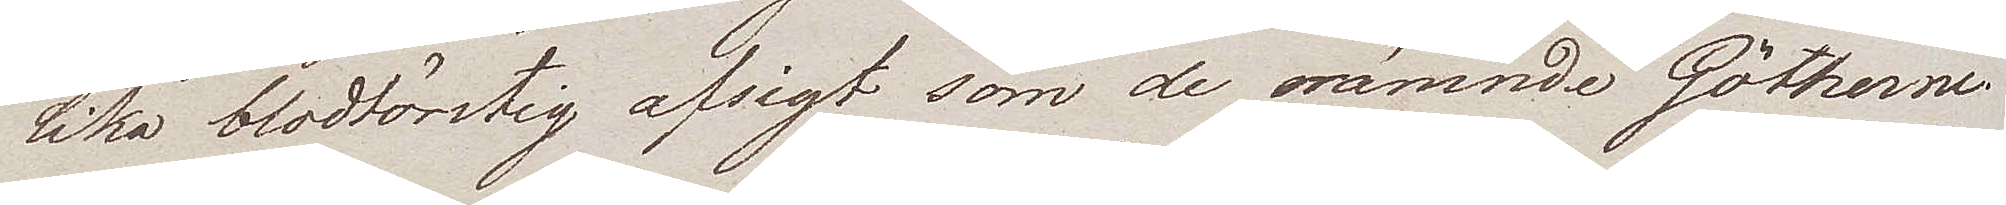lika blodtörstig afsigt som de nämnde Götherne.
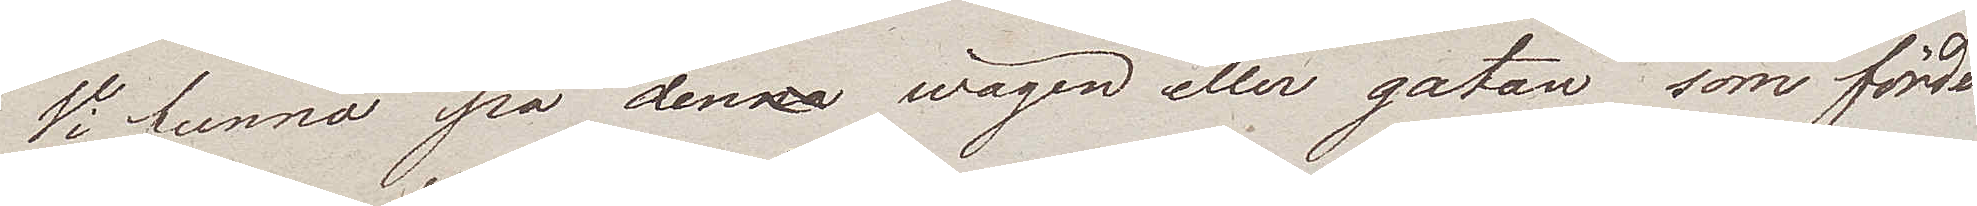Vi funno på denna wägen eller gatan som förde
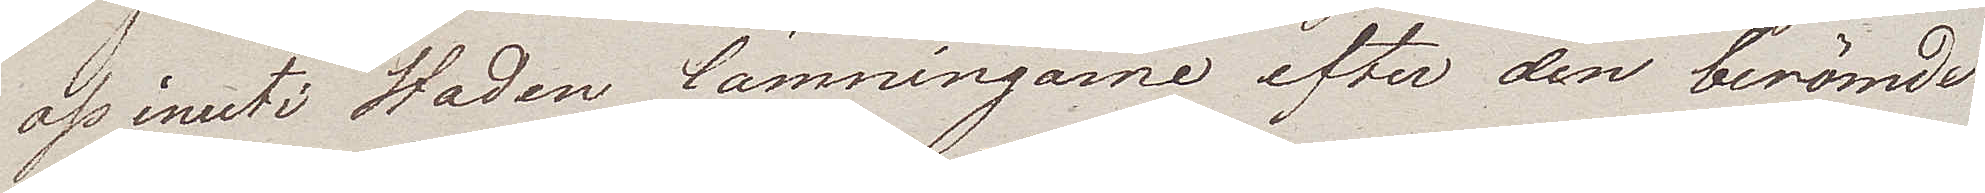oss inuti Staden lämningarne efter den berömde
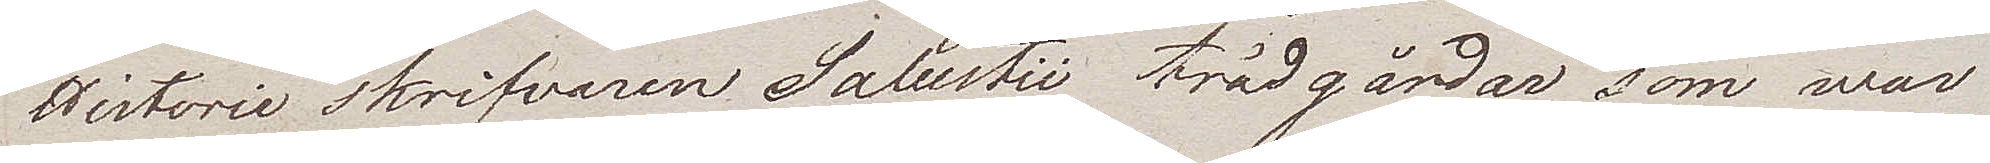Historie skrifvaren Salustii trädgårdar som war
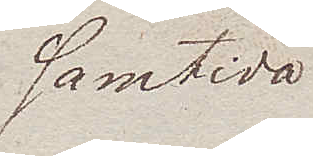samtida
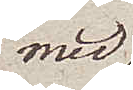med
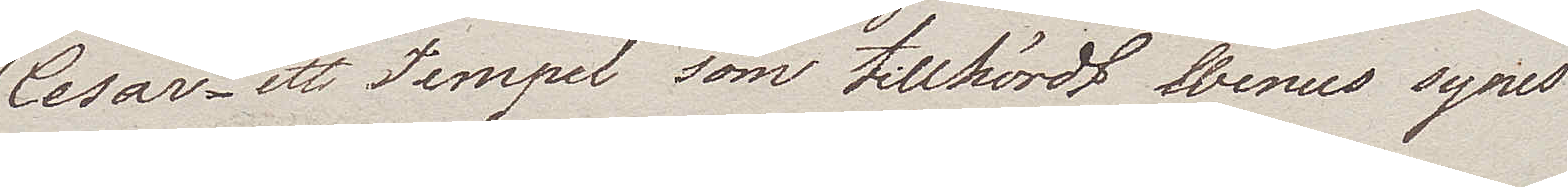Cesar – ett Tempel som tillhördt Wenus synes
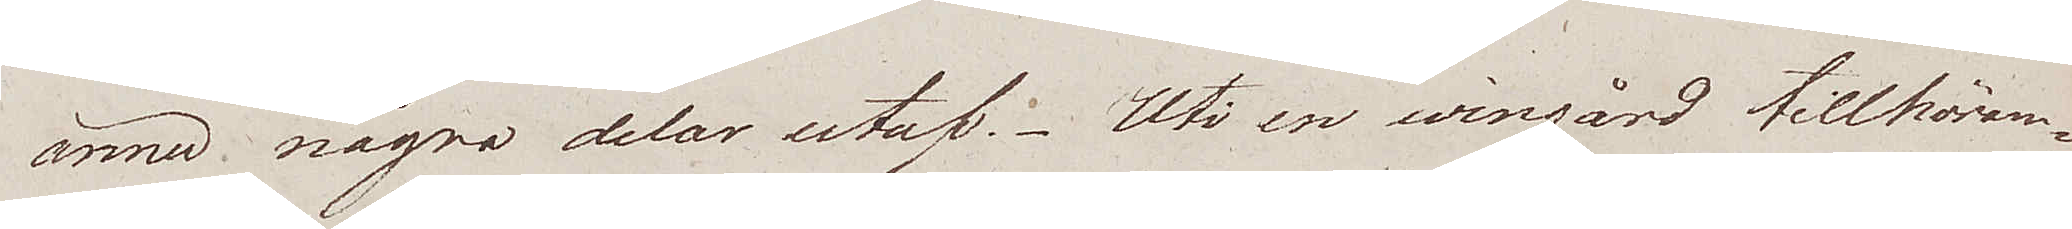ännu några delar utaf. Uti en wingård tillhöran¬
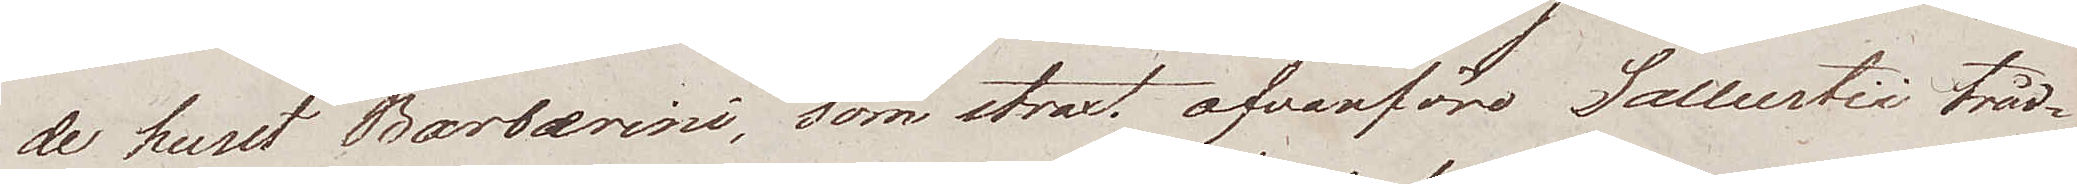de huset Barberine, som straxt ofvanföre Sallustii träd¬
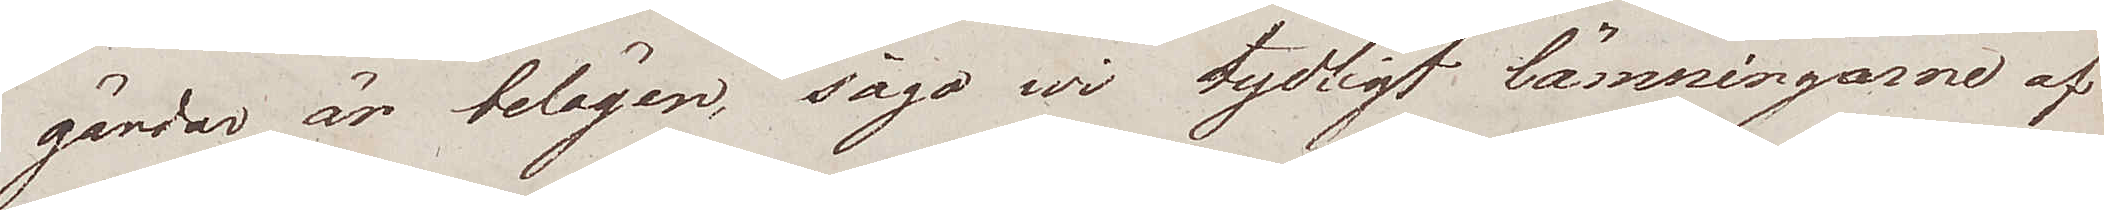gårdar är belägen, sågo wi tydligt lämningarne af
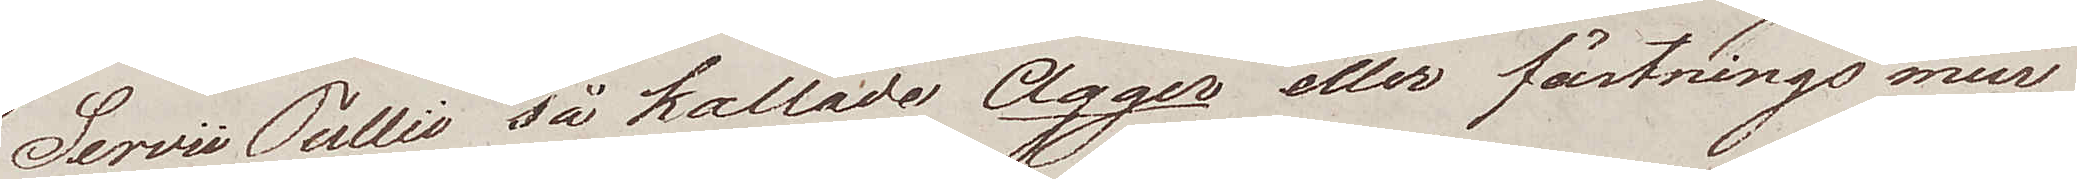Servii Tullii så kallade Agger eller fästnings mur
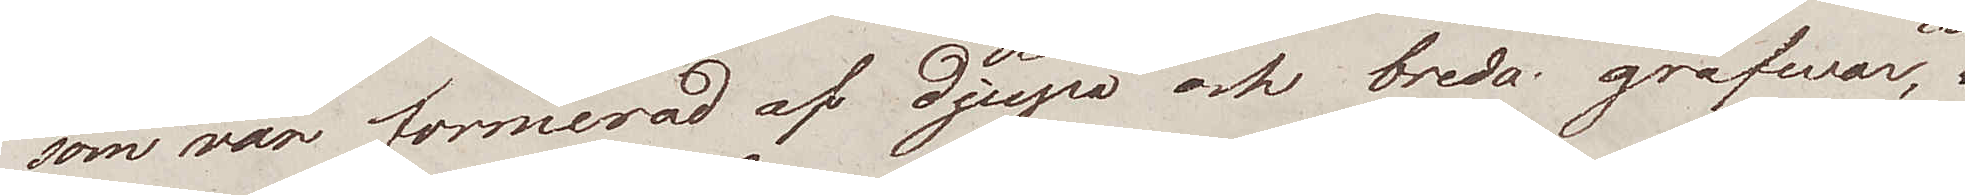som var formerad af djupa och breda grafwar,
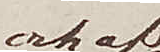och af
